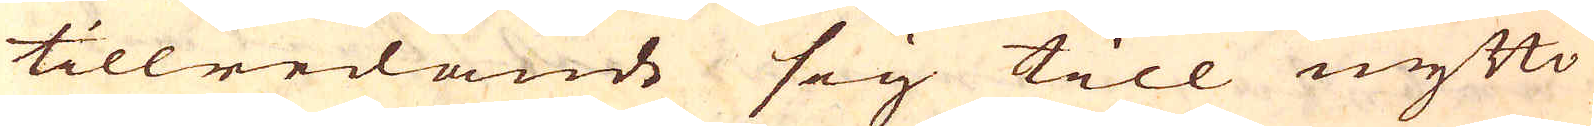tillredande sig till nytto
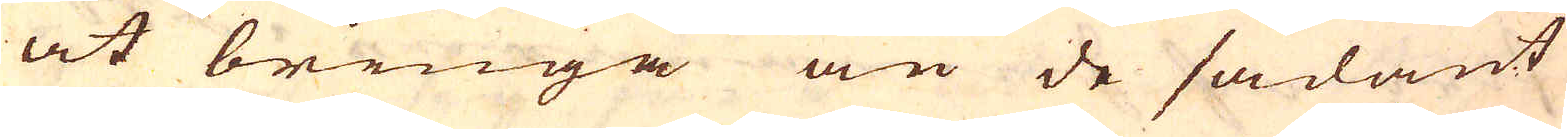at bringa än de sådant
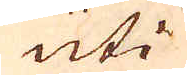uti
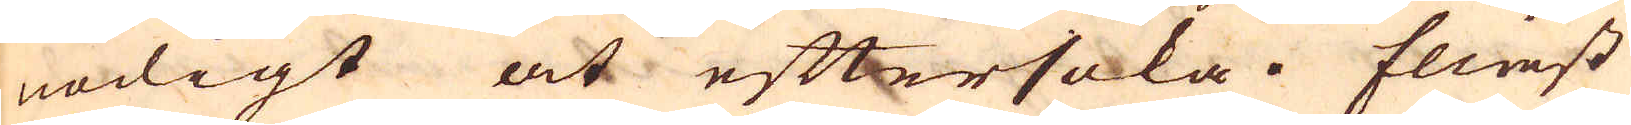nödigt at eftersöka. Eliest
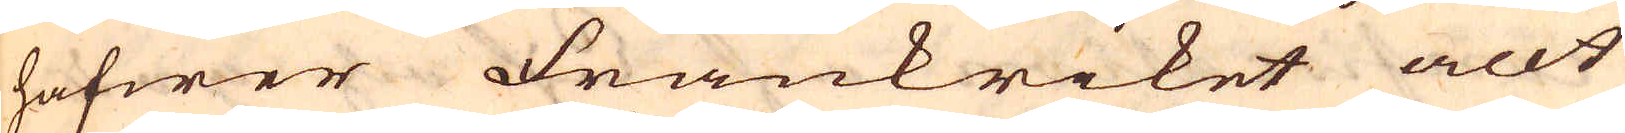hafwer Frankriket allt
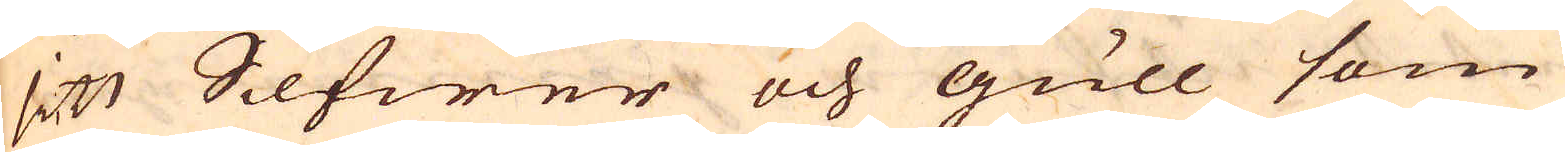sitt Silfwer och gull som
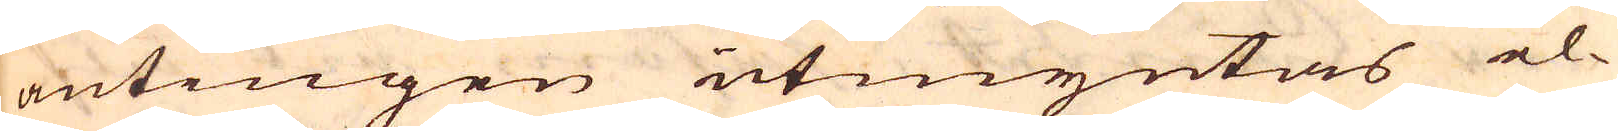antingen utmyntas el-
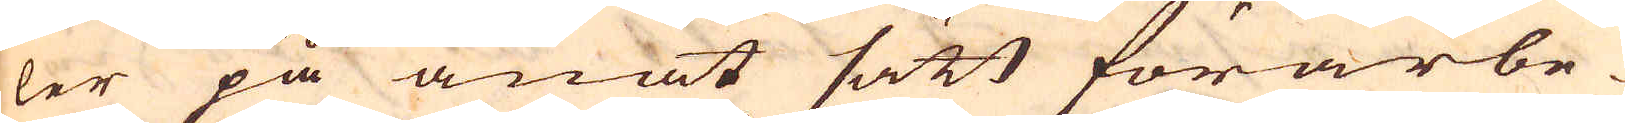ler på anat sätt förarbe-
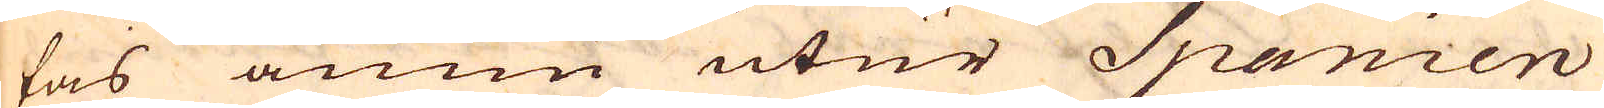tas ännu utur Spanien
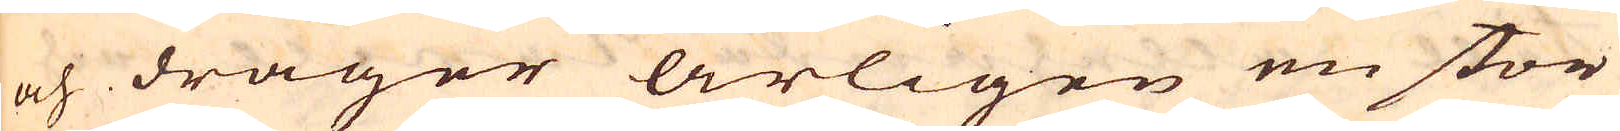och drager årligen en stor
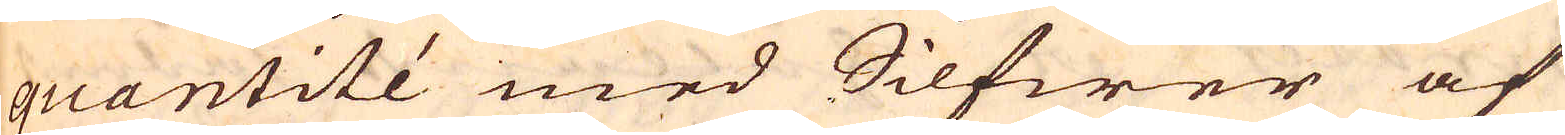quantité med Silfwer af
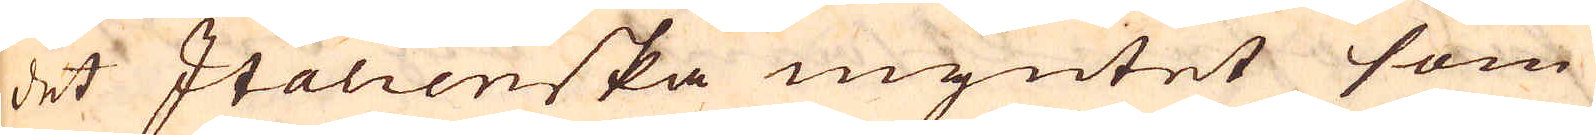det Italienska myntet som
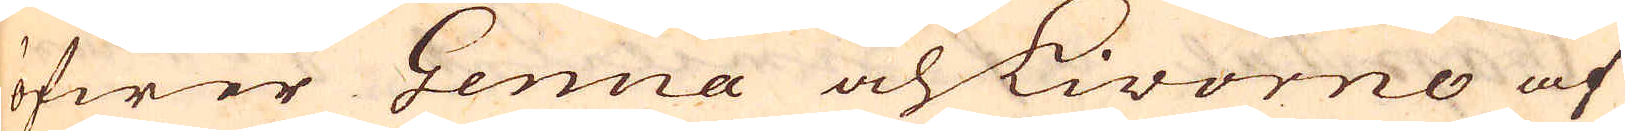öfwer Genua och Livorno af
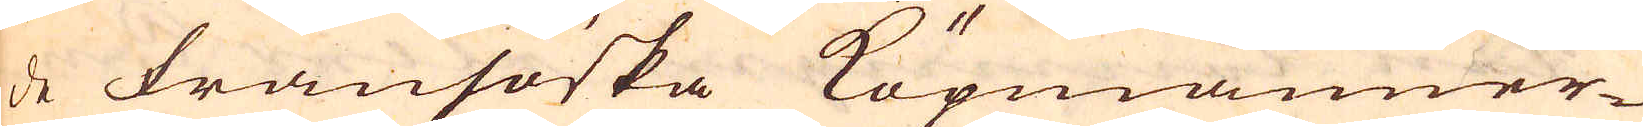de Fransöska Köpmänner-
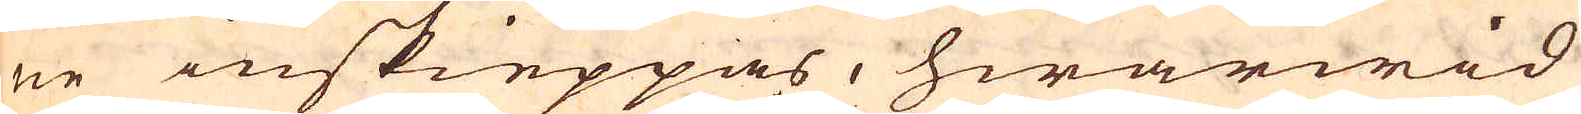ne inskieppas, hwarwid
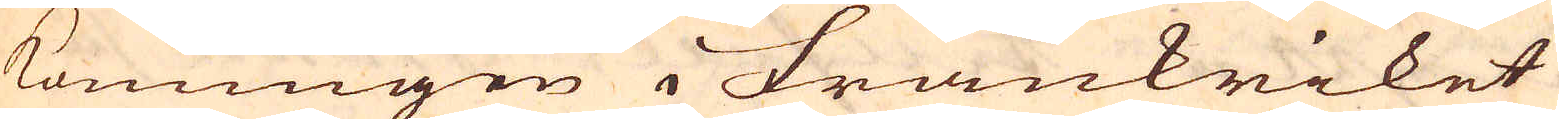konungen i Frankriket
